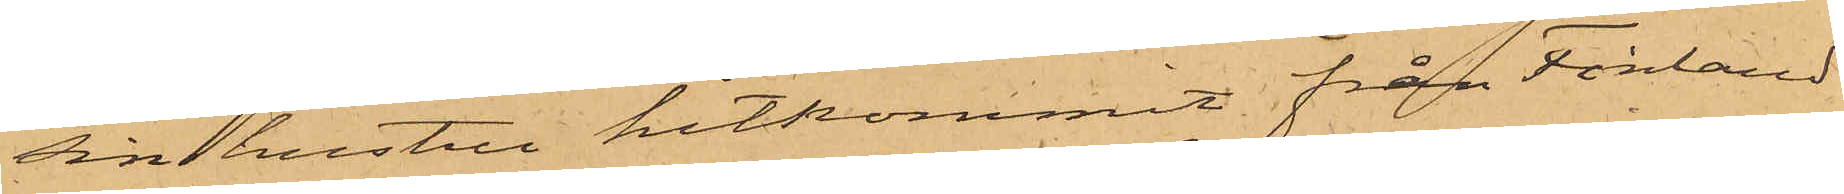sin hustru hitkommit från Finland
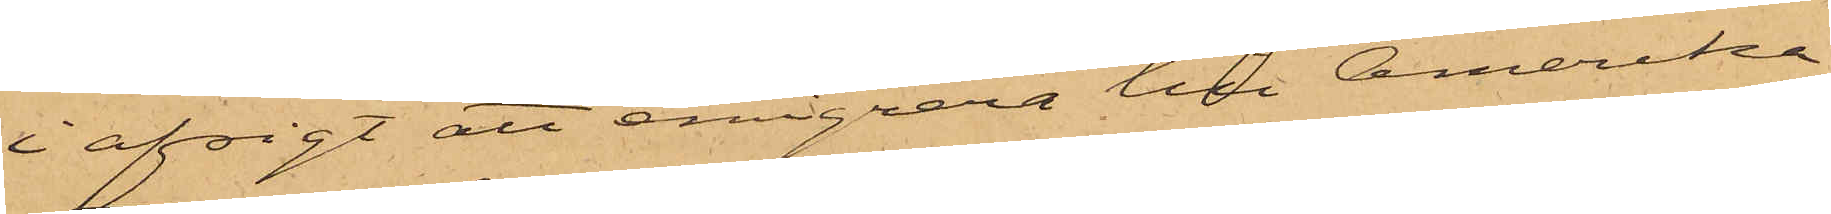i afsigt att emigrera till Amerika;
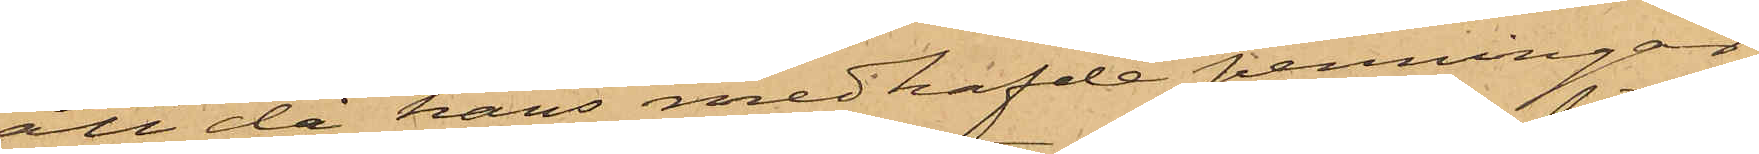att då hans medhafde penningar
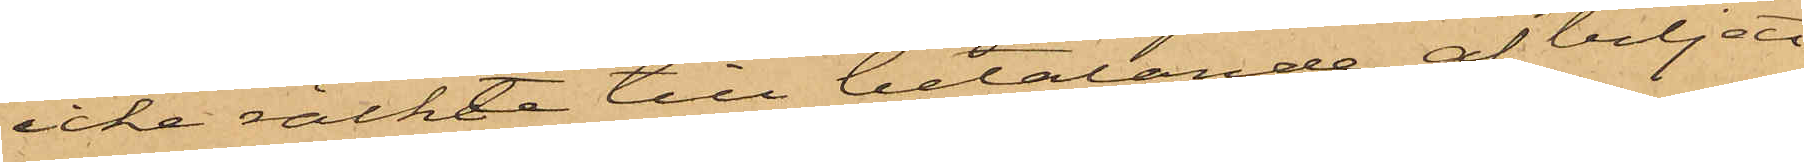icke räckte till betalande af biljett
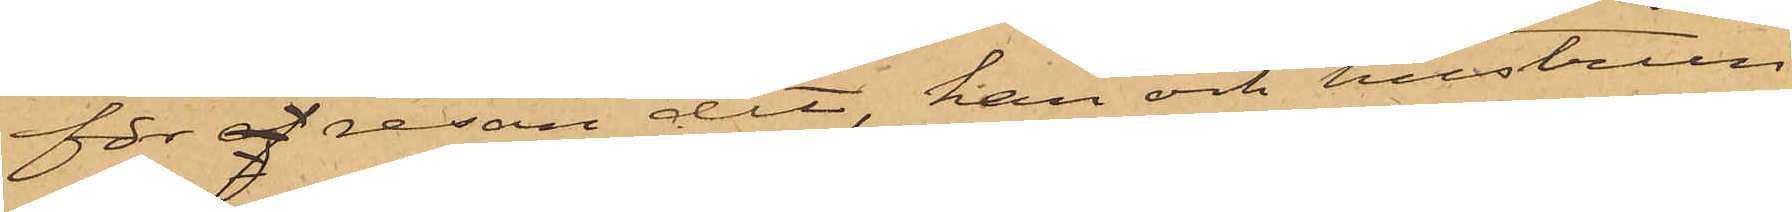för af resan dit, han och hustrun
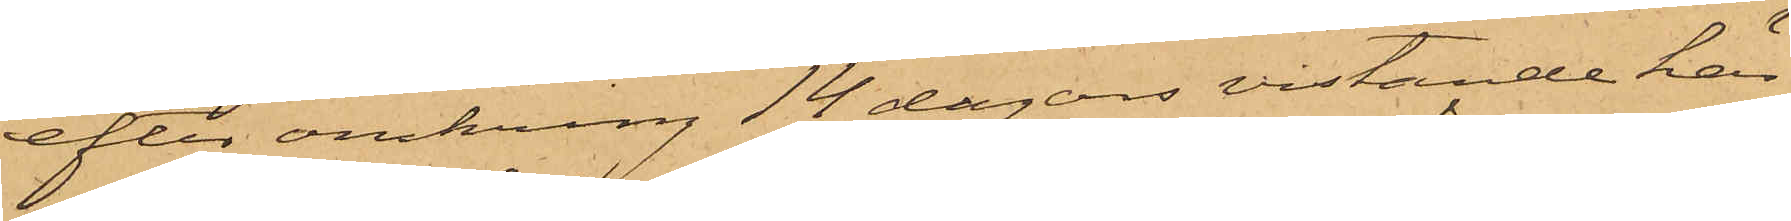efter omkring 14 dagars vistande här
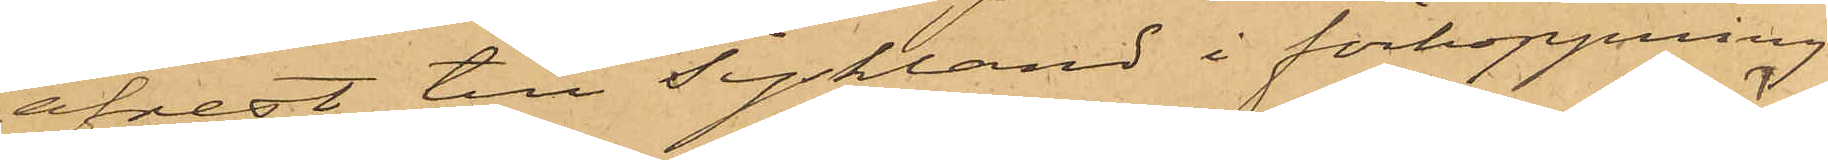afrest till Tyskland i förhoppning
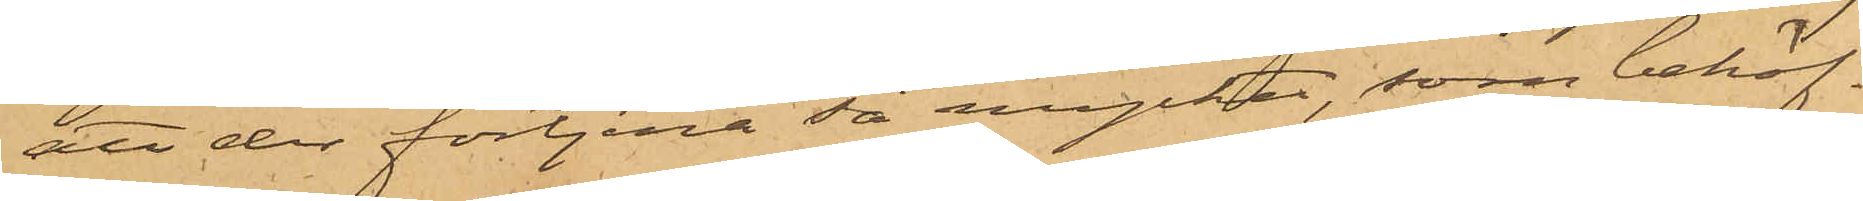att der förtjena så mycket, som behöf¬
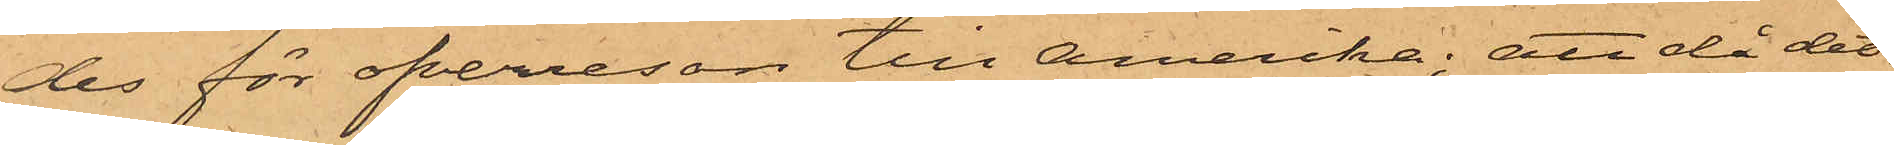des för öfverresan till Amerika; att då det¬
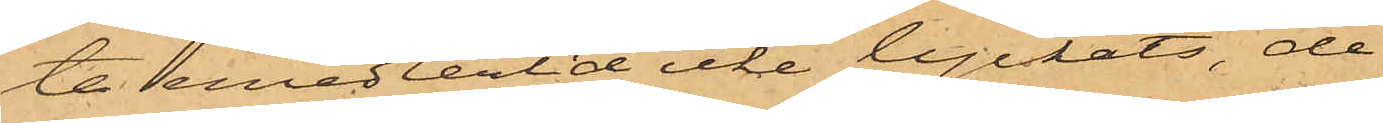ta emedlertid icke lyckats, de
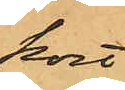kort
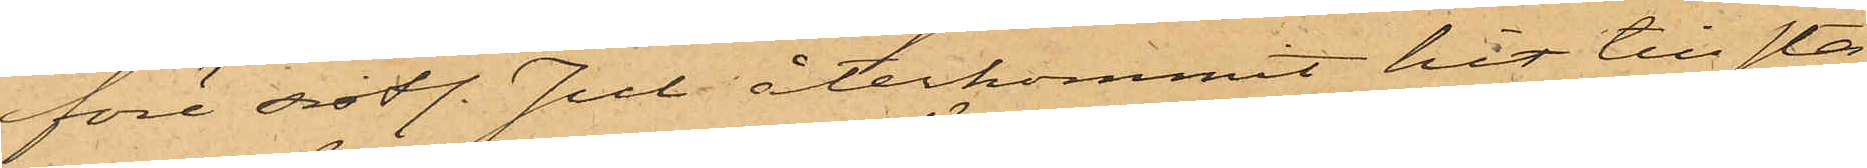före sistl. Jul återkommit hit till sta¬
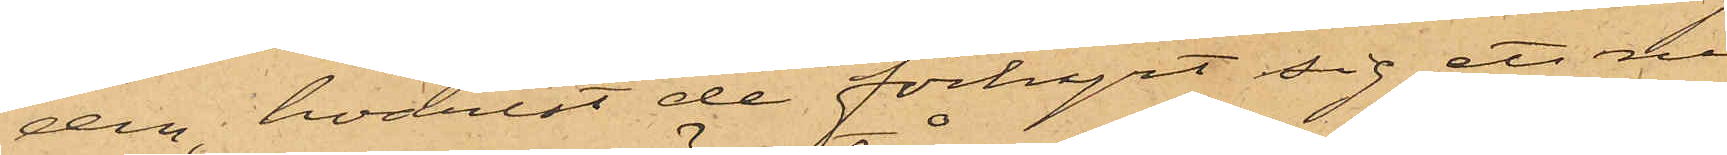den, hvarest de förhyrt sig ett rum
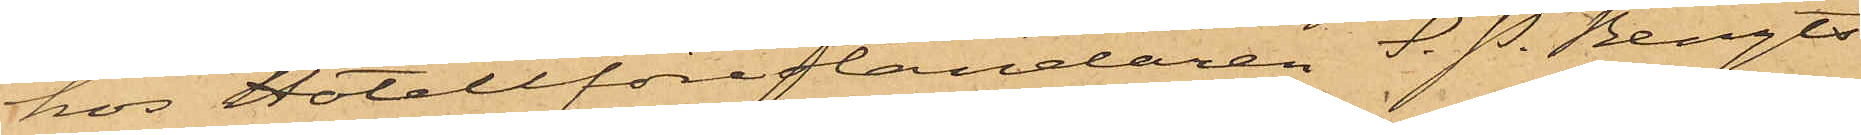hos Hotellföreståndaren S. P. Bengts¬
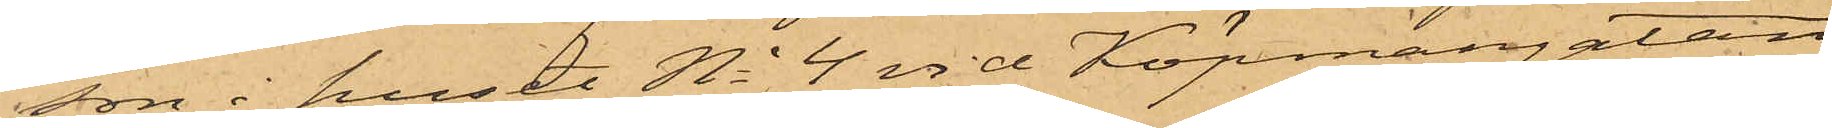son i huset No 4 vid Köpmangatan,
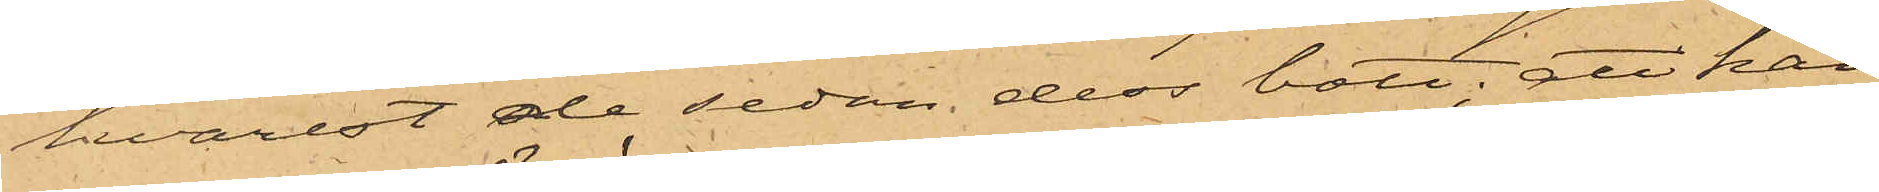hvarest de sedan dess bott, att han
